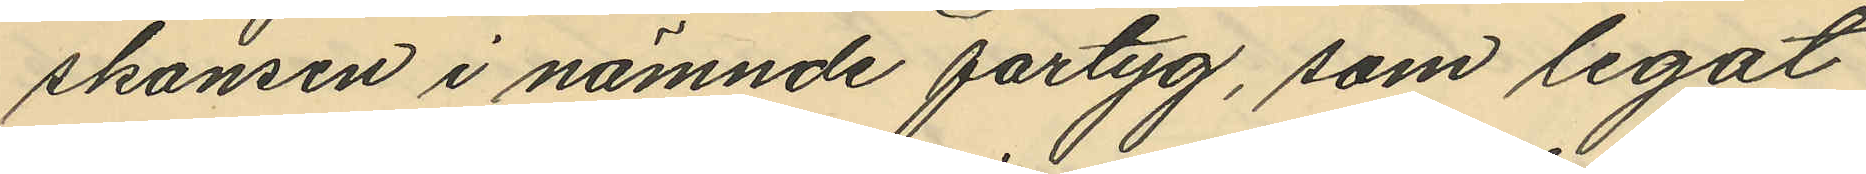skansen i nämnde fartyg, som legat
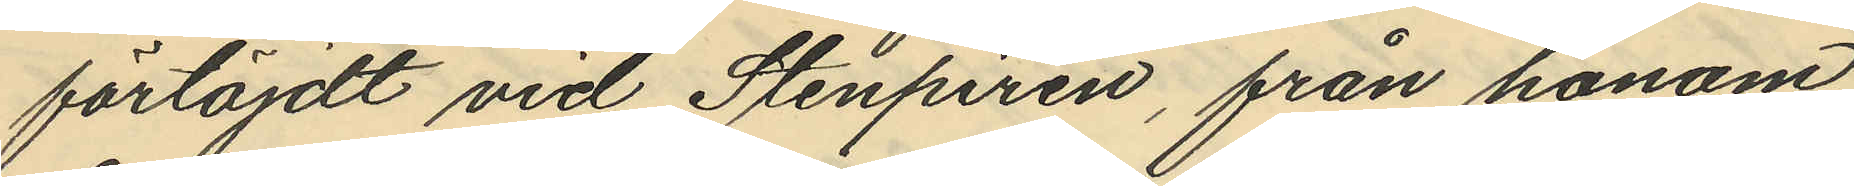förtöjdt vid Stenpiren, från honom
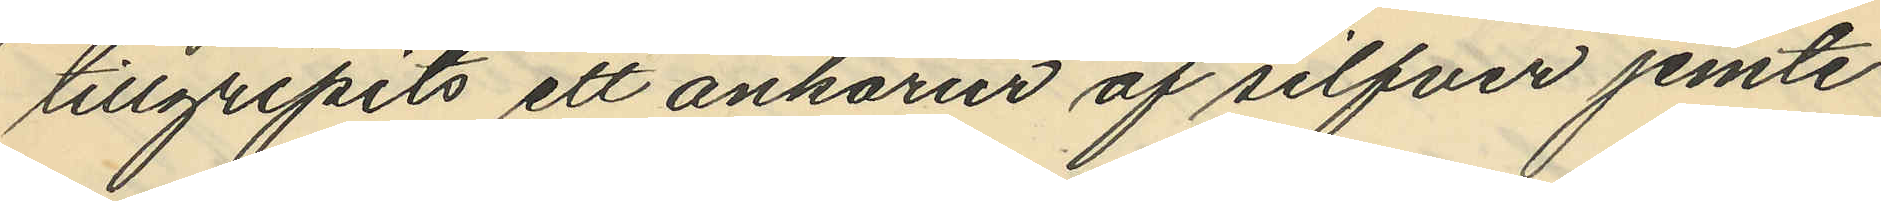tillgripits ett ankarur af silfver jemte
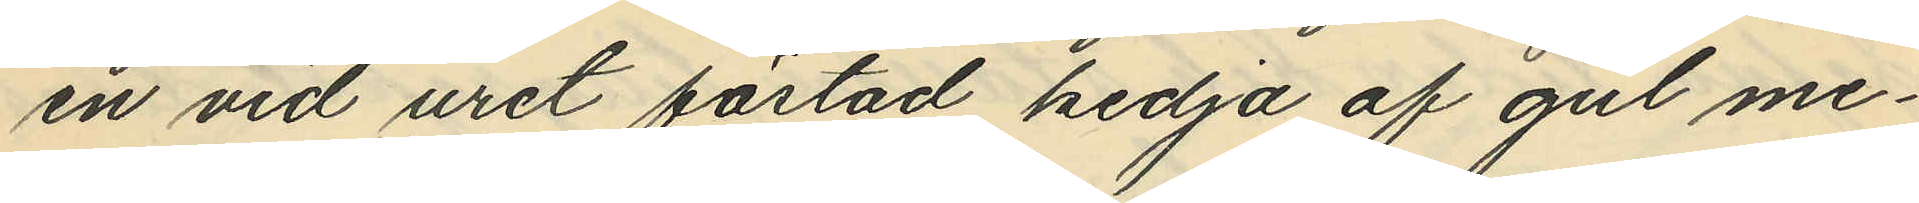en vid uret fästad kedja af gul me¬
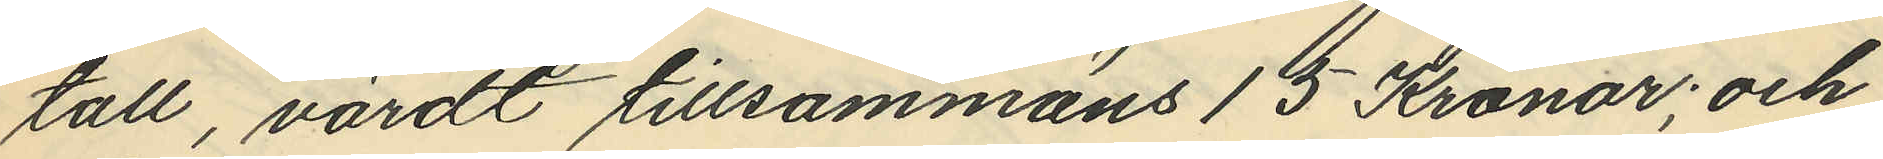tall, värdt tillsammans 15 Kronor; och
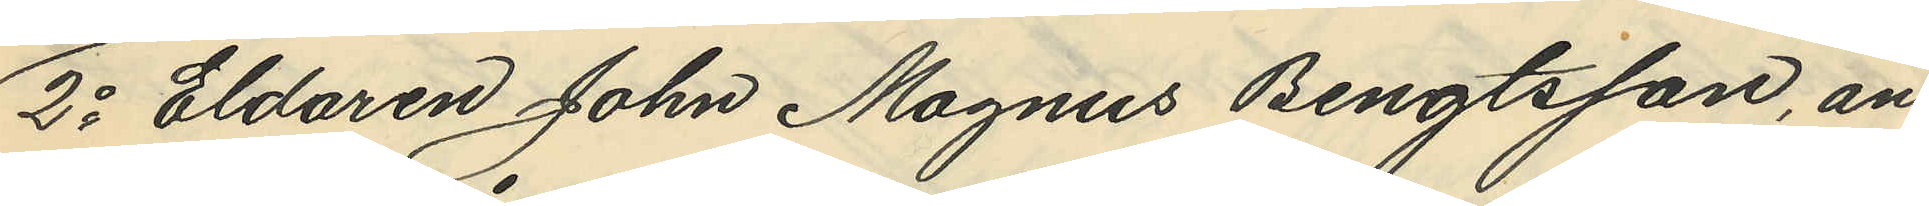2o Eldaren John Magnus Bengtsson, an¬
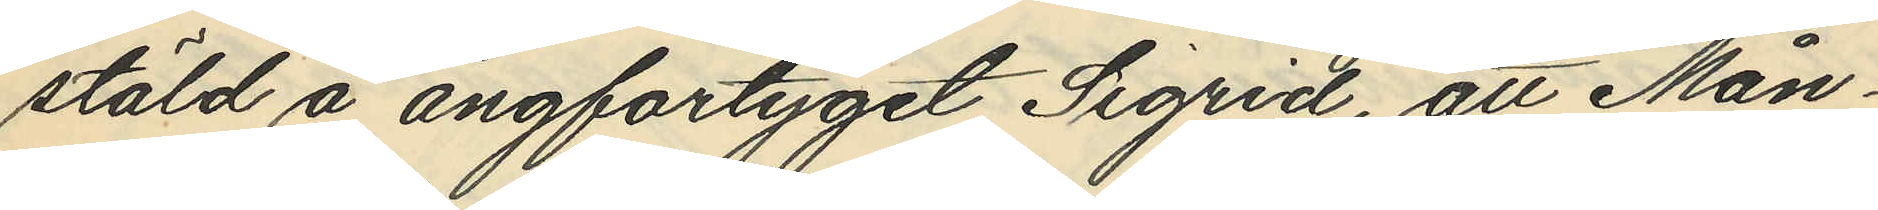stäld å ångfartyget Sigrid, att Mån¬
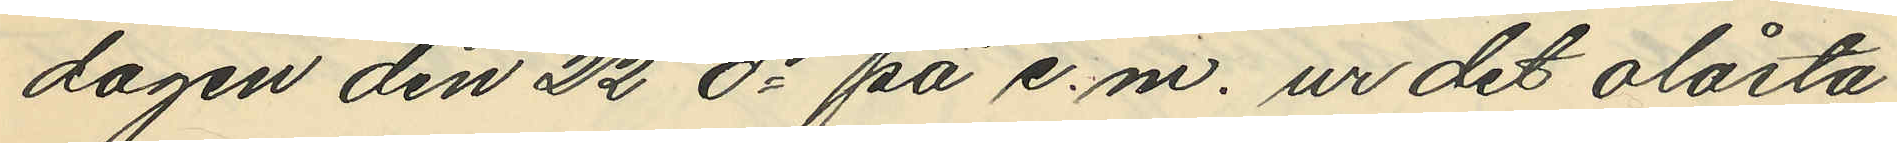dagen den 22 ds på e.m. ur det olåsta
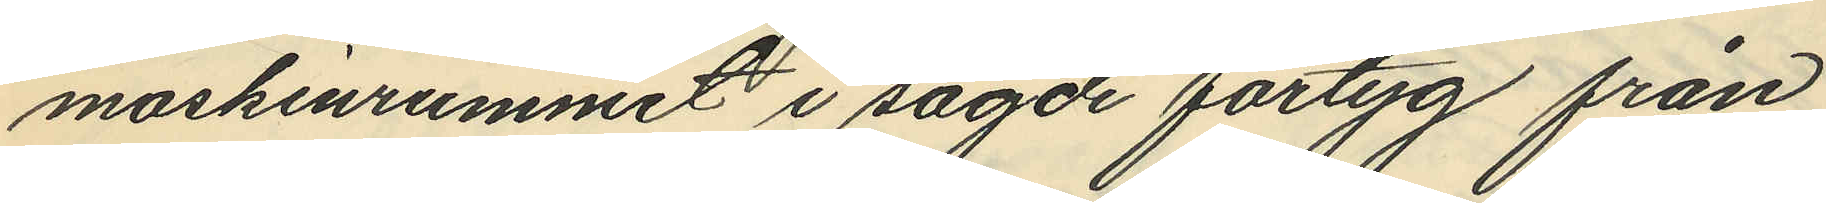maskinrummet i sagde fartyg från
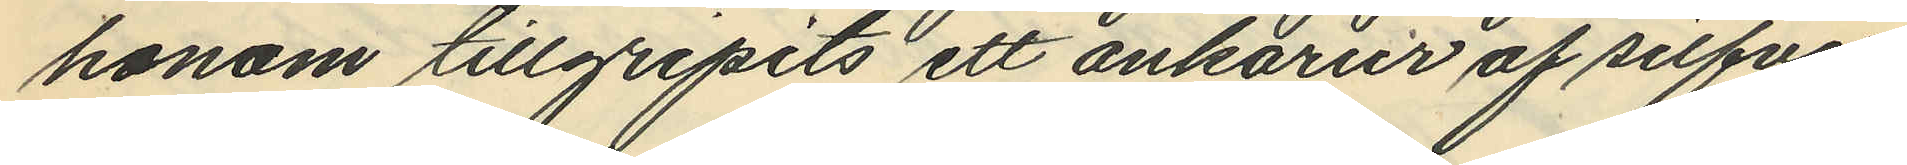honom tillgripits ett ankarur af silfver
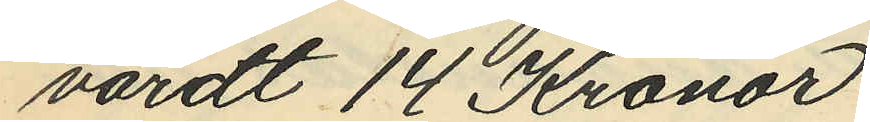värdt 14 Kronor.
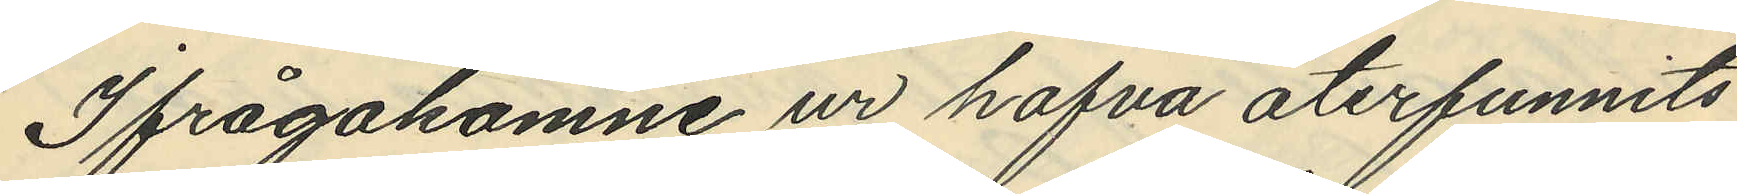Ifrågakomne ur hafva återfunnits
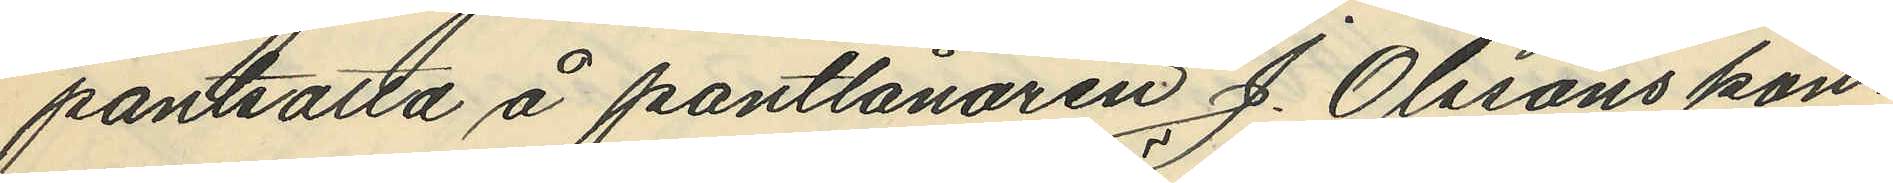pantsätta å pantlånaren J. Olssons kon¬
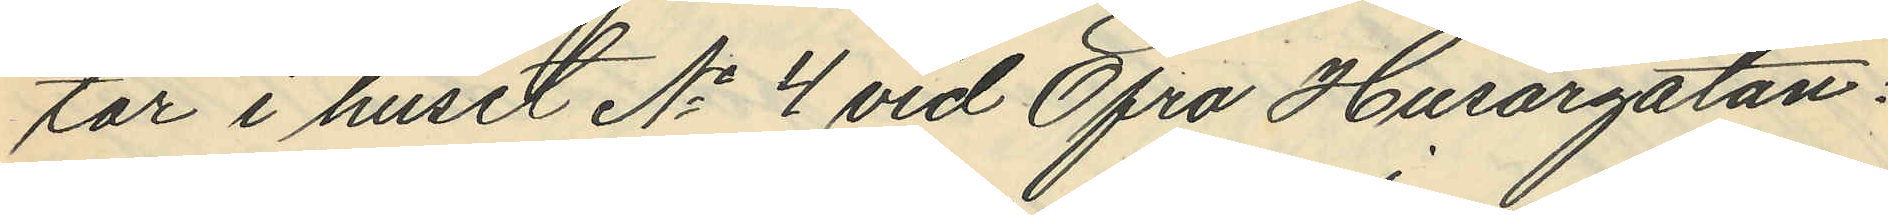tor i huset No 4 vid Öfra Husargatan.
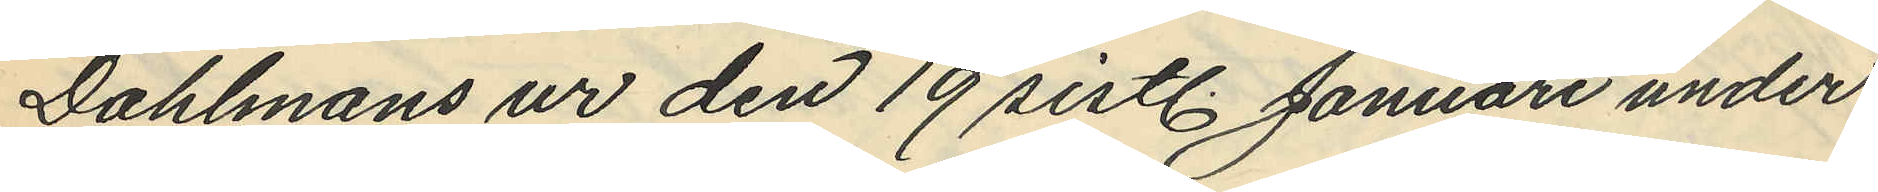Dahlmans ur den 19 sistl. Januari under
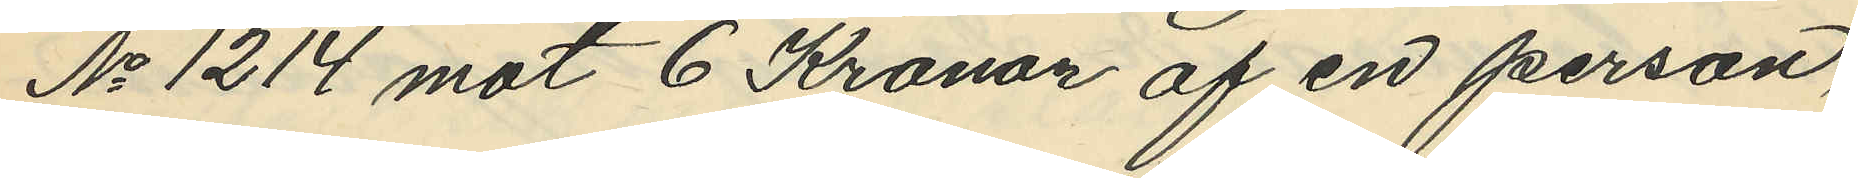No 1214 mot 6 Kronor af en person,
